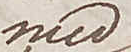med
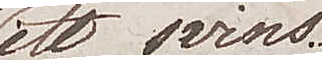ett svins.
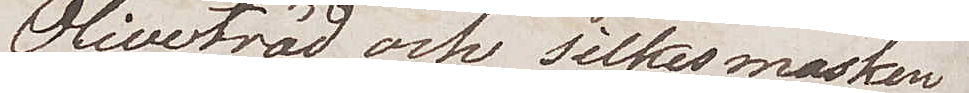Olivträd och silkesmasken
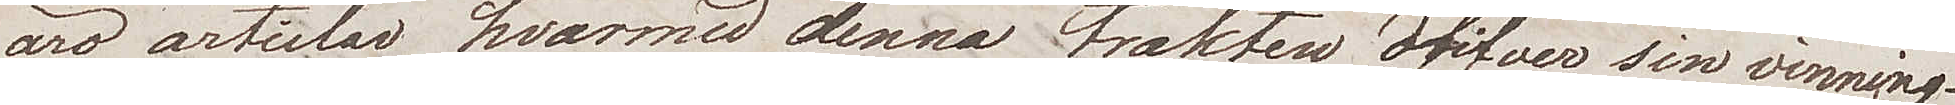äro articlar hvarmed denna trakten drifver sin vinning.
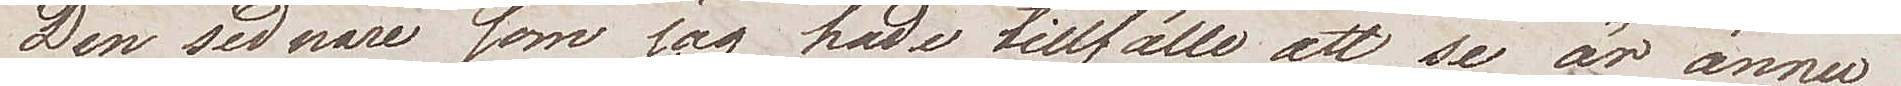Den sednare som jag hade tillfälle att se är ännu
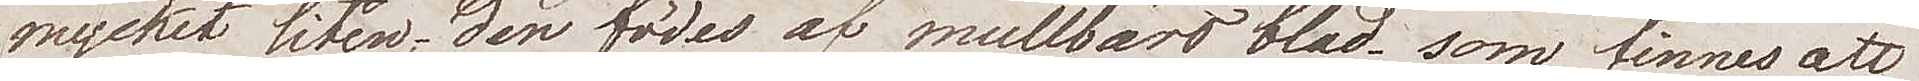mycket liten, den födes af mullbärsblad som finns att
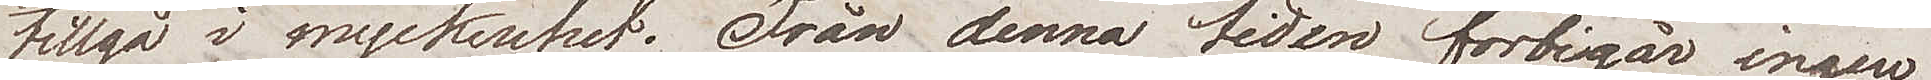tillgå i myckenhet. Från denna tiden förbigår ingen
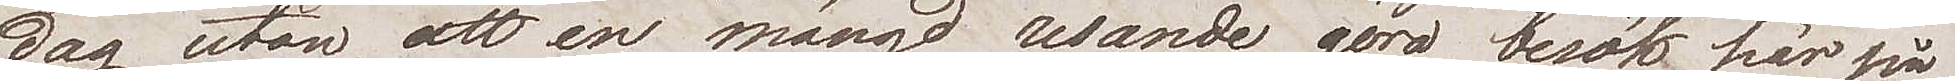dag utan att en mängd resande göra besök här på
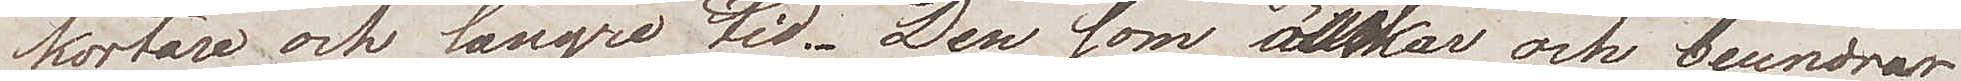kortare och längre tid. Den som älskar och beundrar
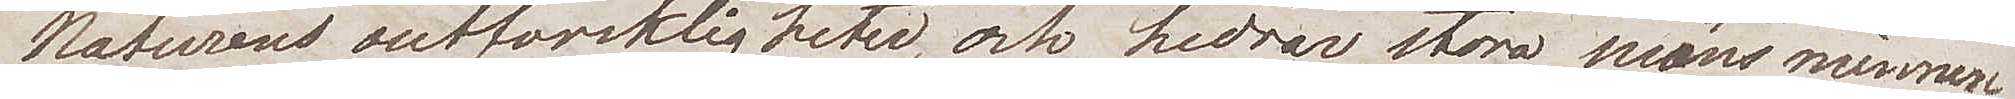Naturens outforskligheter och hedrar stora mäns minnen
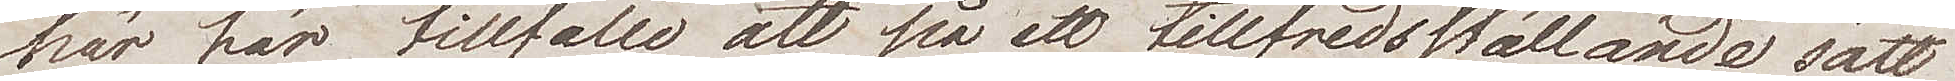har här tillfälle att på ett tillfredsställande sätt
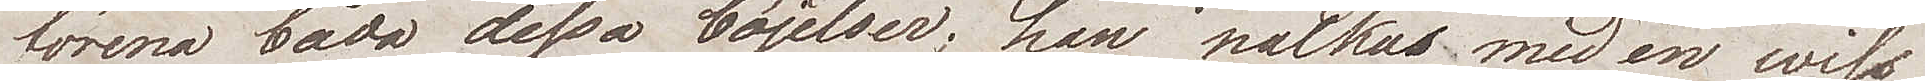förena båda dessa böjelser; han nalkas med en wiss
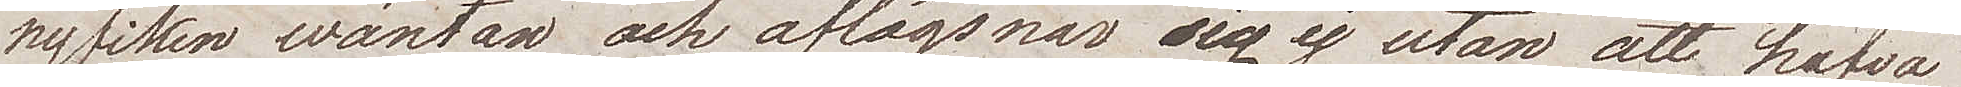nyfiken wäntan och aflägsnar sig ej utan att hafva
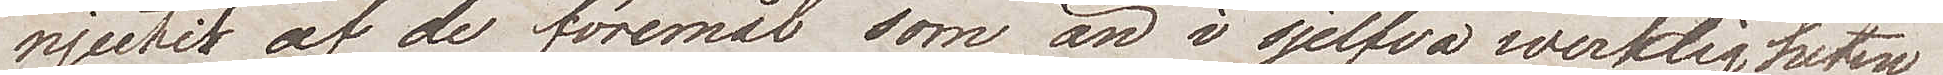njutit af de föremål som nu i sjelfva werkligheten
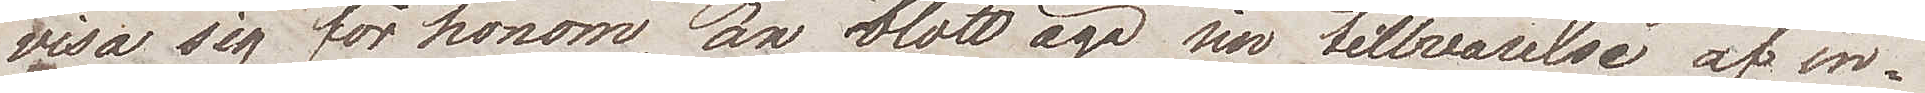visa sig för honom, att blott äga sin tillvarelse af in¬
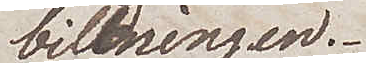bildningen.
